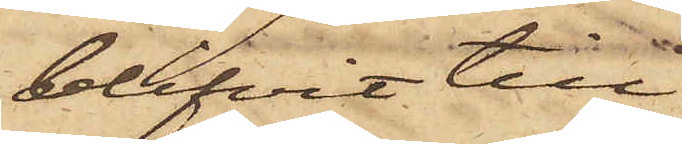blifvit till
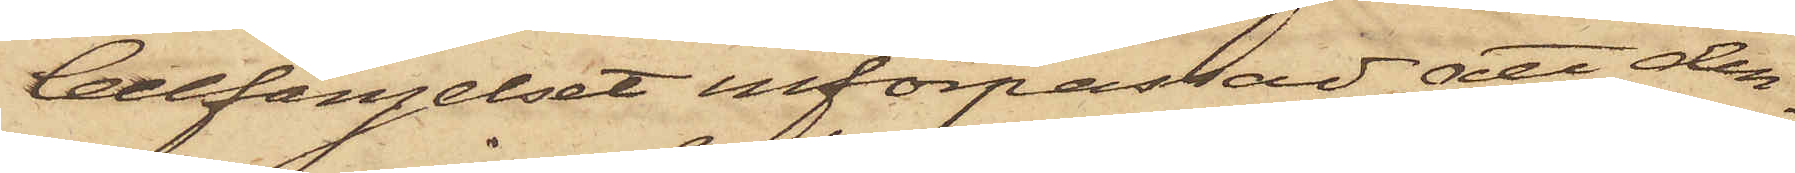Cellfängelset införpassad att den¬
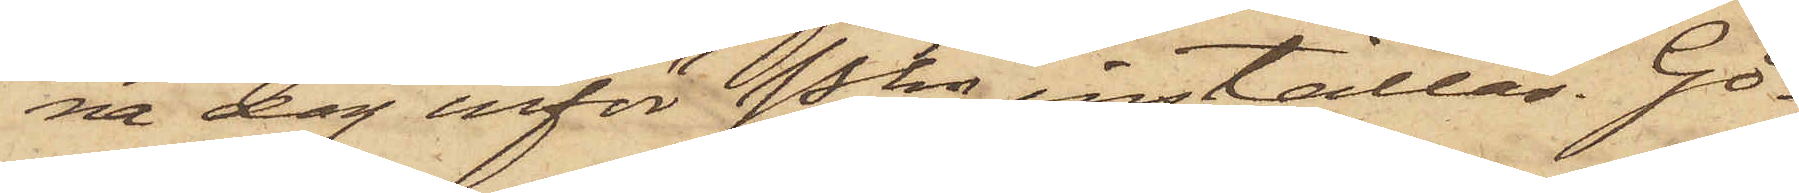na dag inför Pkn inställas. Gö¬
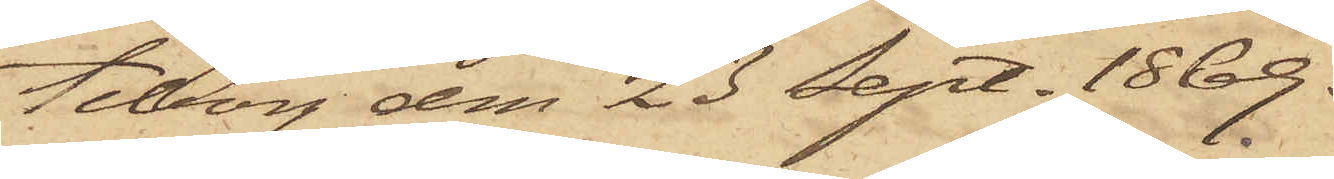teborg den 23 Sept. 1869.
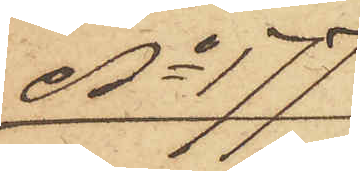No 177
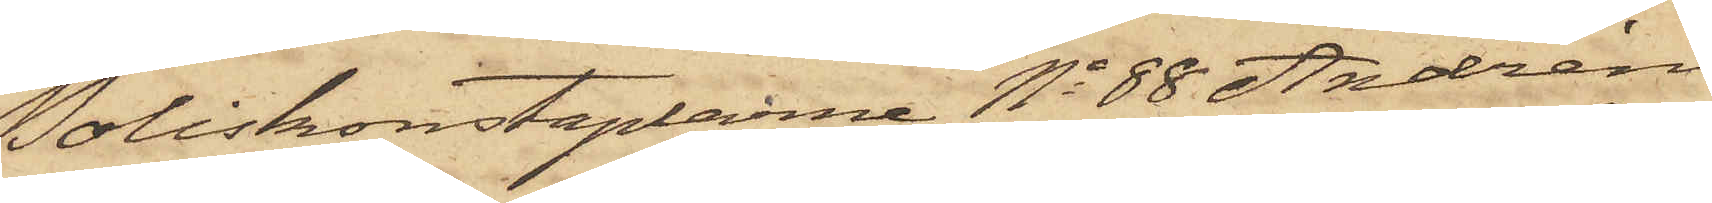Poliskonstaplarne No 88 Andrén
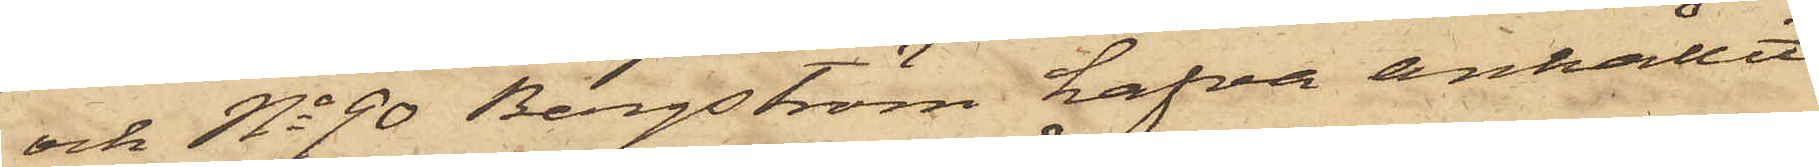och No 90 Bergström hafva anhållit
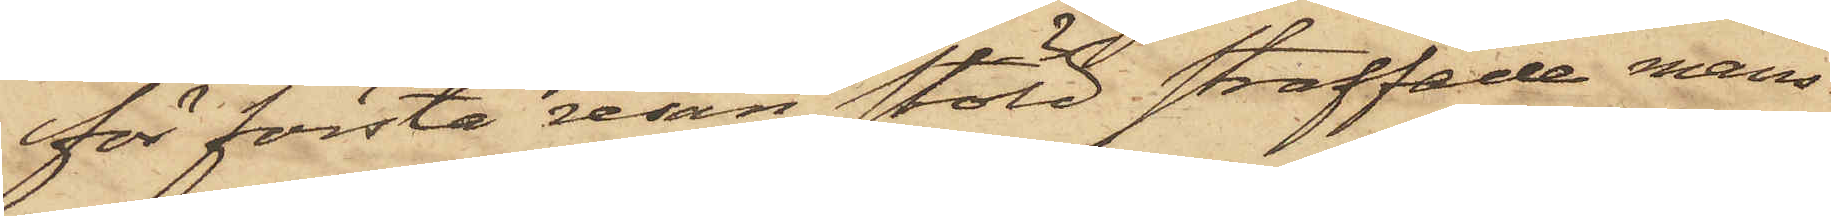för första resan stöld straffade mans¬
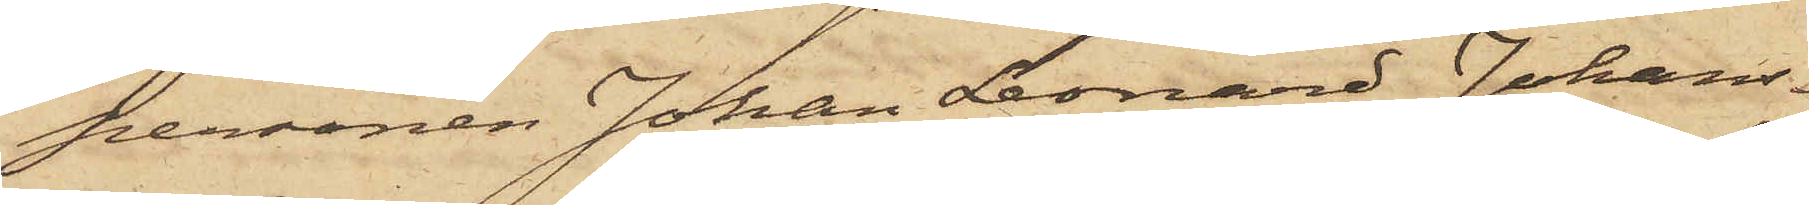personen Johan Leonard Johans¬
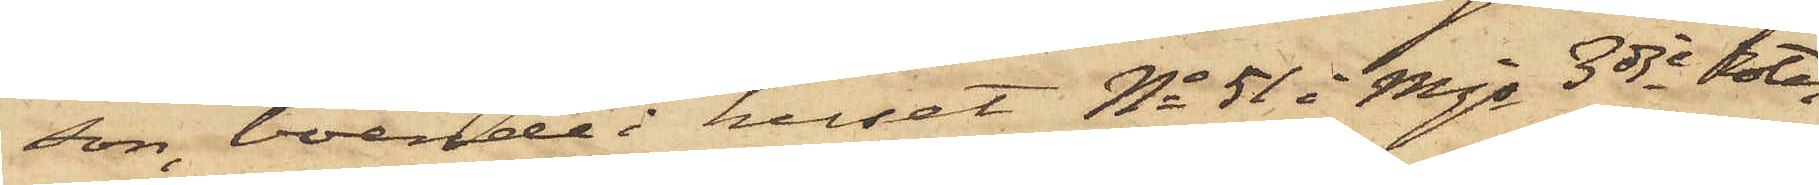son, boende i huset No 51 i Mjs 3dje Rote,
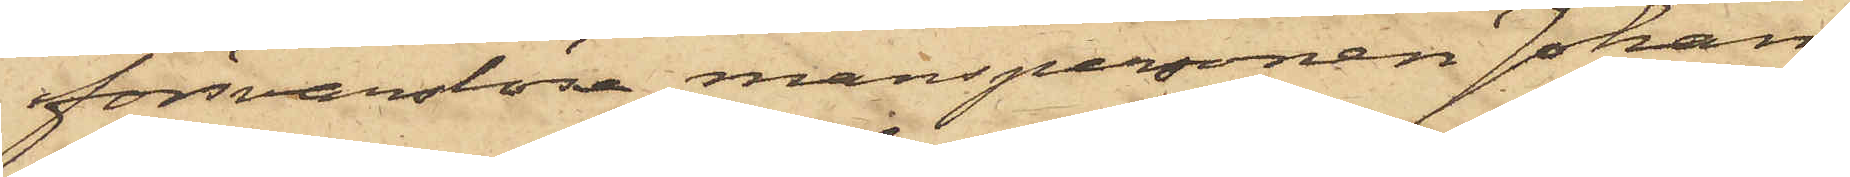försvarslöse manspersonen Johan¬
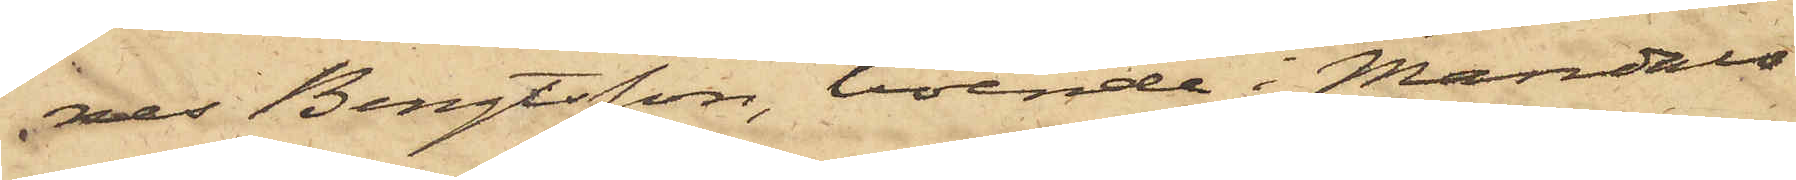nes Bengtsson, boende i Mandals
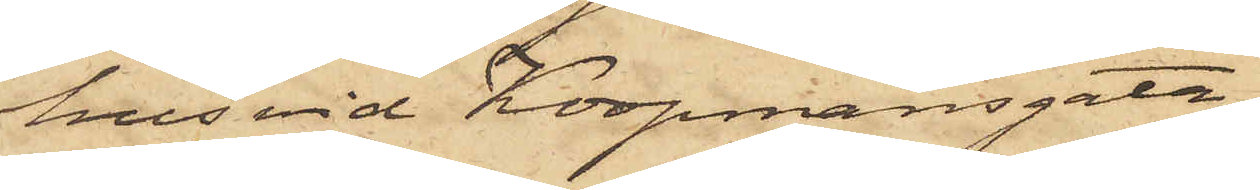hus vid Koopmansgatan,
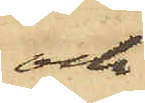och
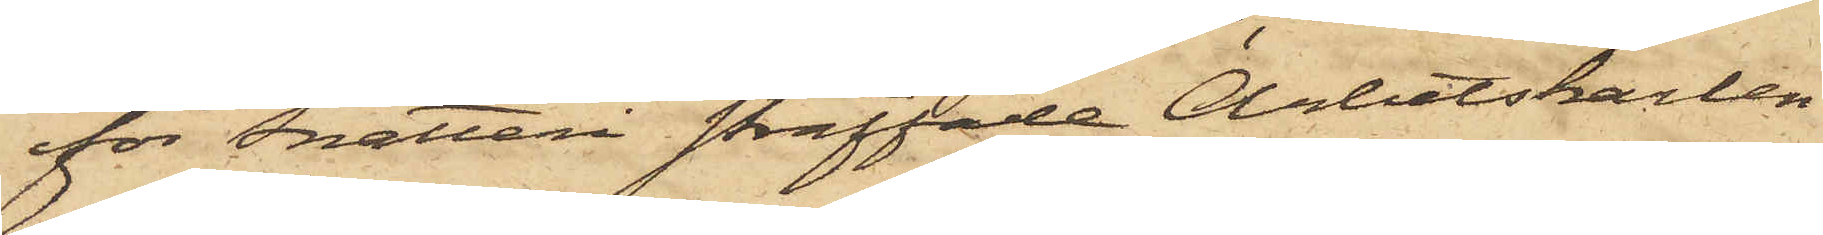för Snatteri straffade Arbetskarlen
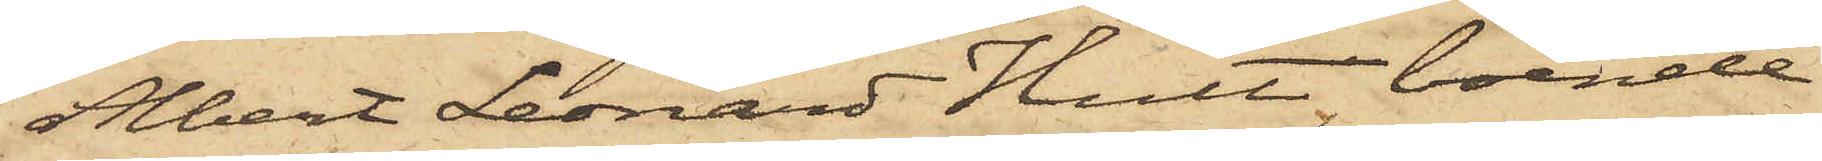Albert Leonard Hult boende
